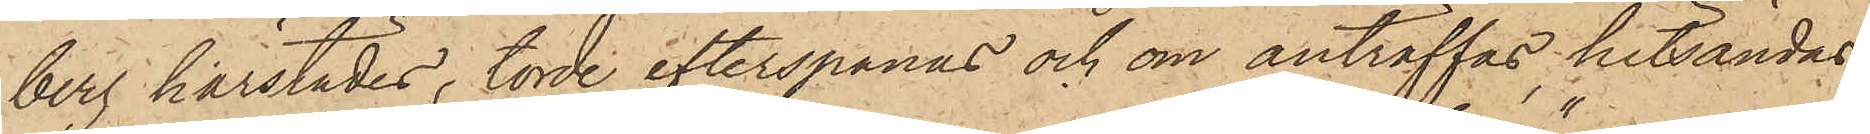berg härstädes, torde efterspanas och om anträffas, hitsändas
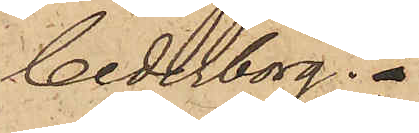Cederborg."
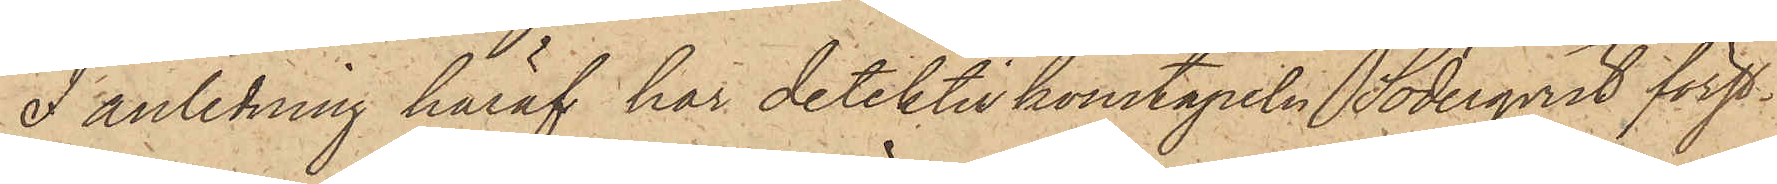I anledning häraf har detektivkonstapeln Söderqvist först¬
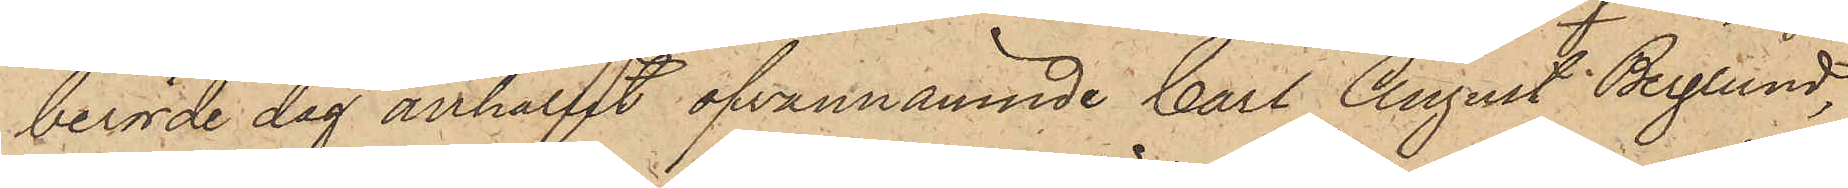berörde dag anhållit ofvannämnde Carl August Berglund,
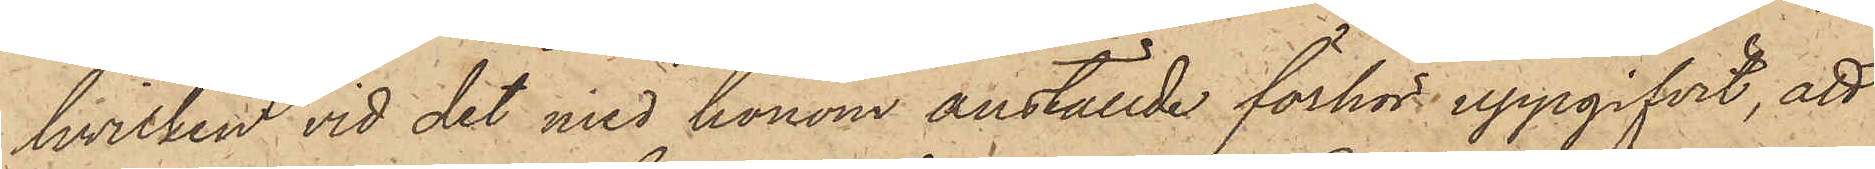hvilken vid det med honom anställde förhör uppgifvit, att
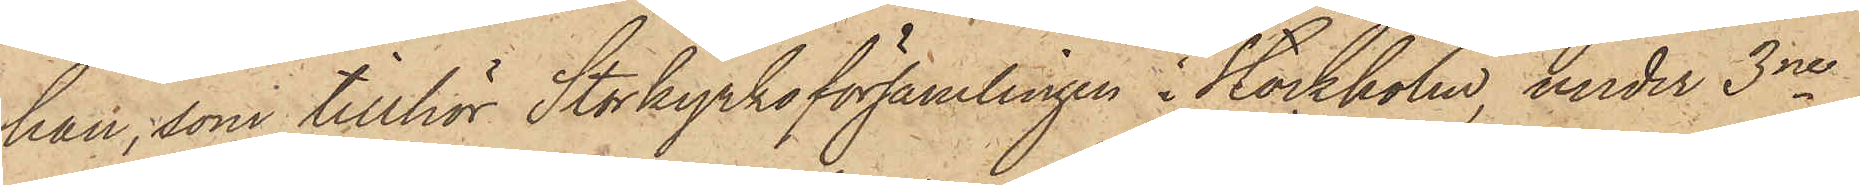han, som tillhör Storkyrkoförsamlingen i Stockholm, under 3ne
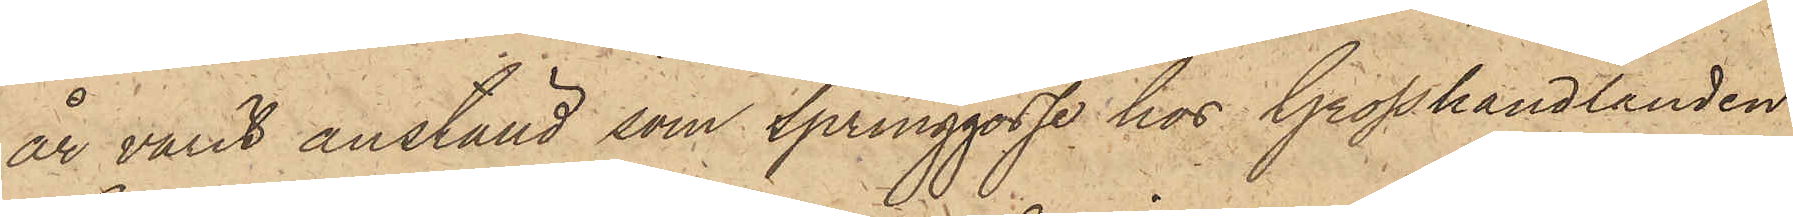år varit anställd som springgosse hos Grosshandlanden
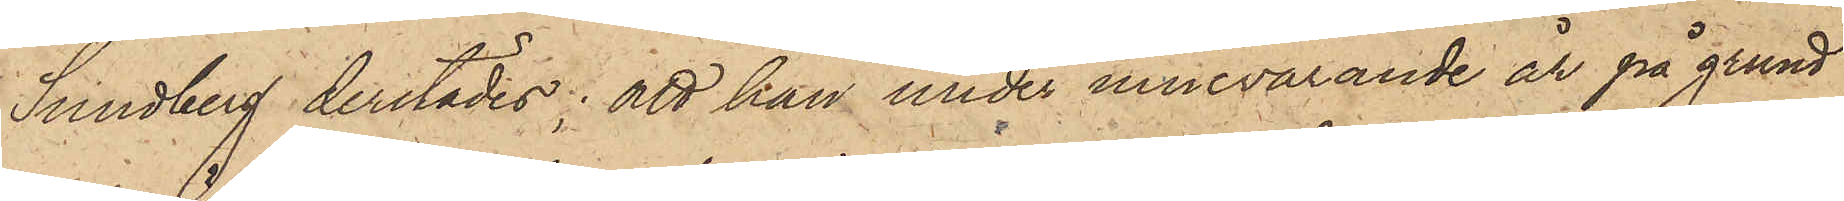Sundberg derstädes; att han under innevarande år på grund
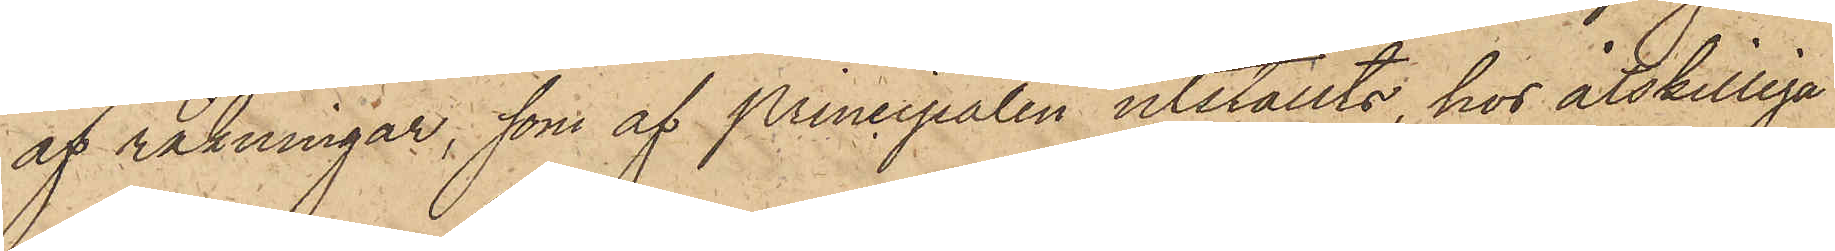af räkningar, som af Principalen utställts, hos åtskilliga
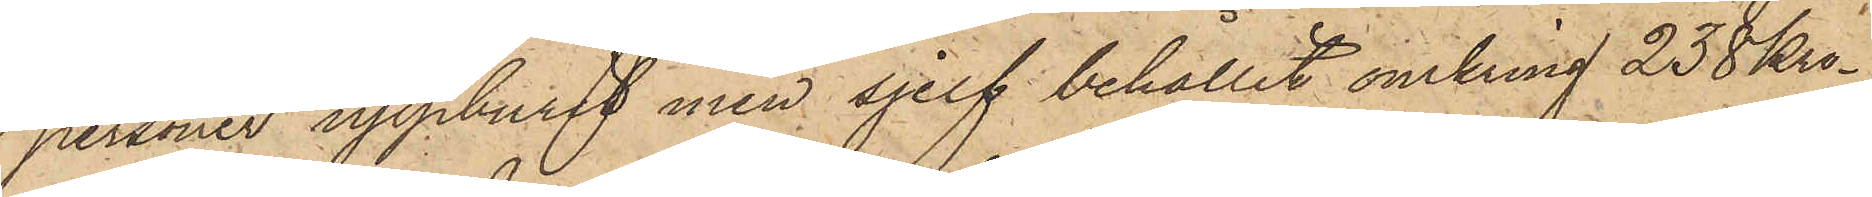personer uppburit men sjelf behållit omkring 238 kro¬
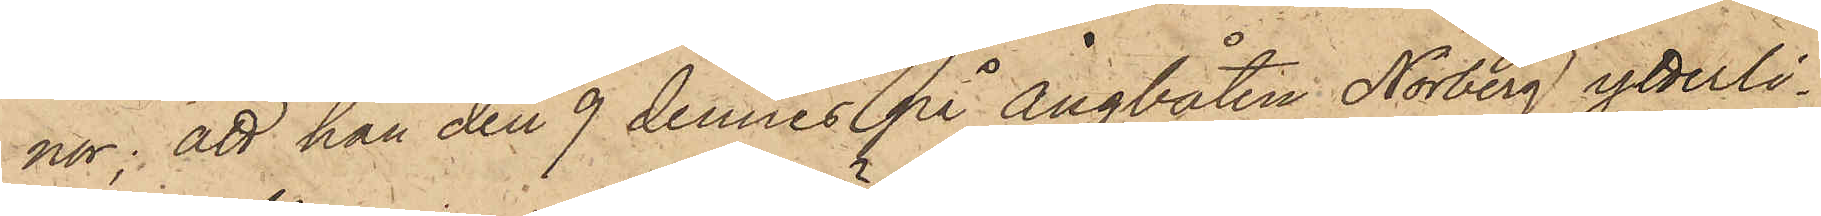nor; att han den 9 dennes på ångbåten Norberg ytterli¬
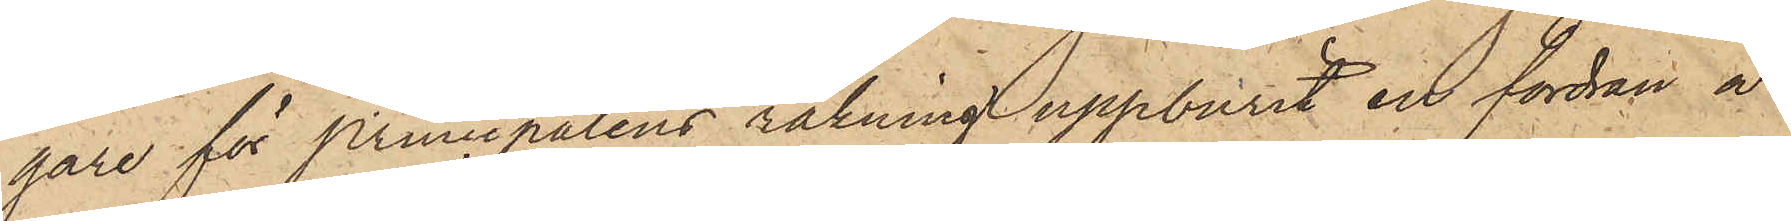gare för principalens räkning uppburit en fordran å
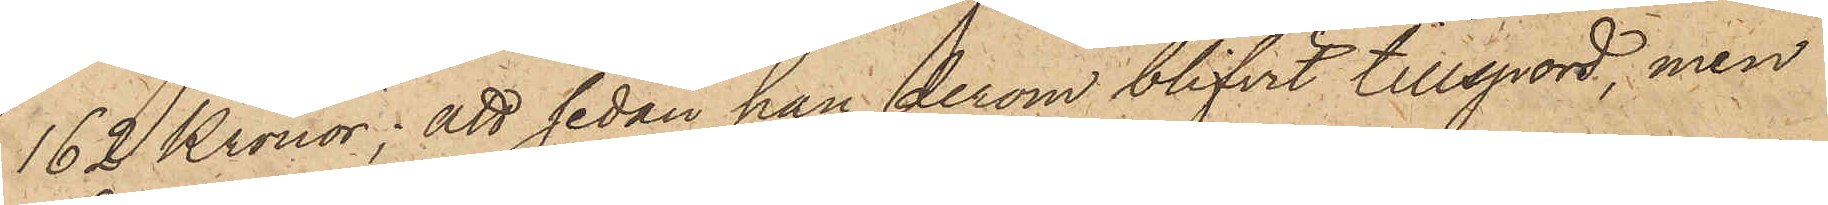162 Kronor; att sedan han derom blifvit tillspord, men
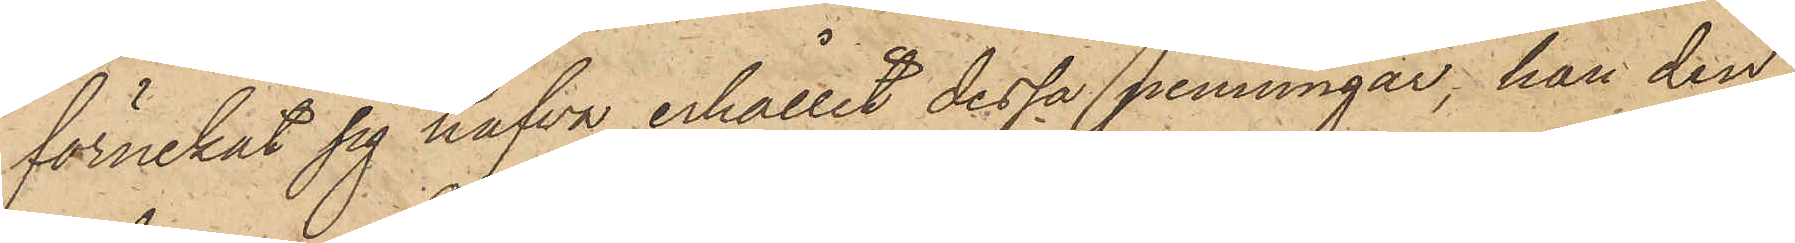förnekat sig hafva erhållit dessa penningar, han den
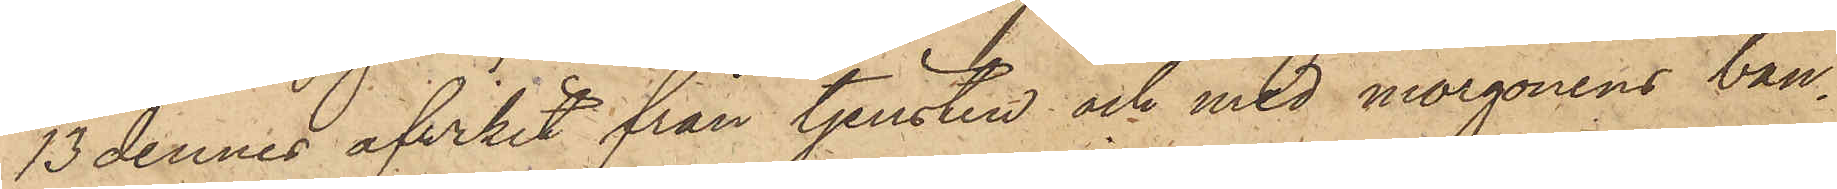13 dennes afvikit från tjensten och med morgonens ban¬
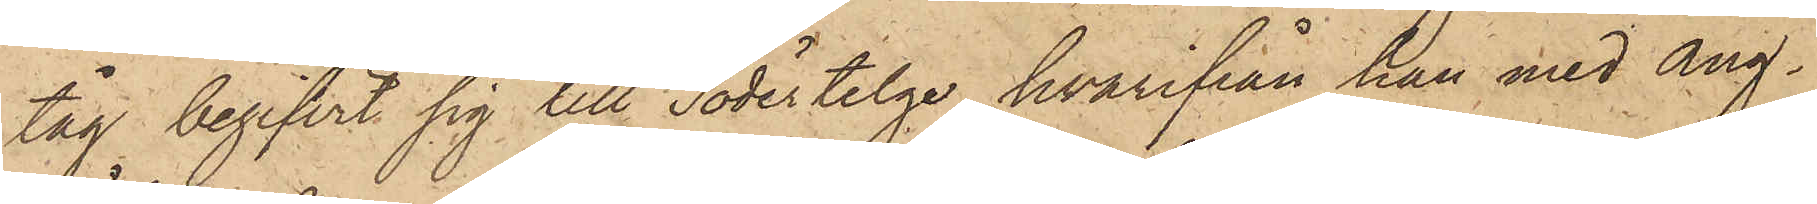tåg begifvit sig till Södertelge, hvarifrån han med ång¬
